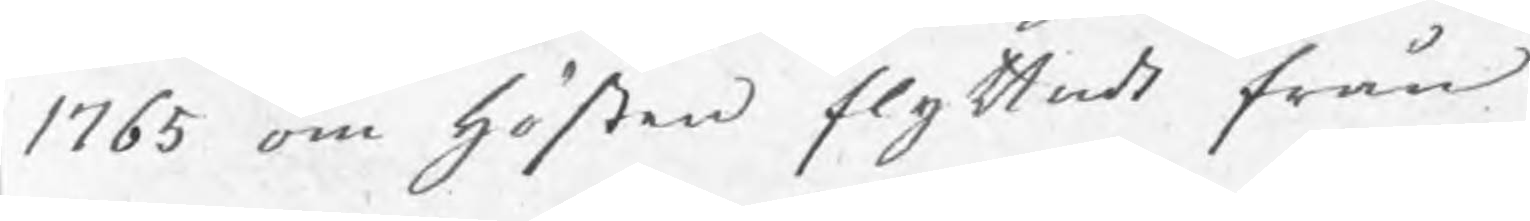1765 om hösten flyttade från
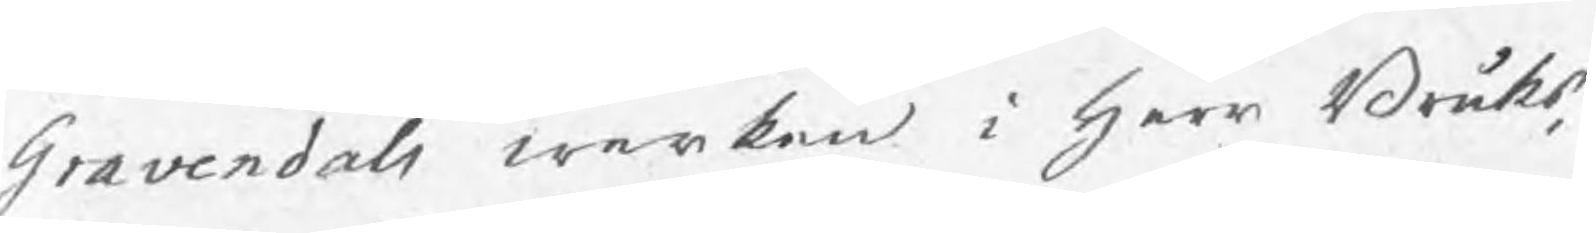Gravendals werken i herr Bruks¬
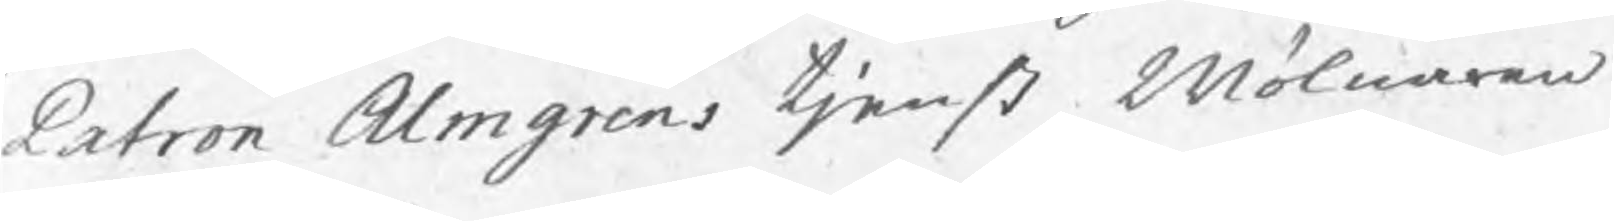Patron Almgrens tjenst Mölnaren
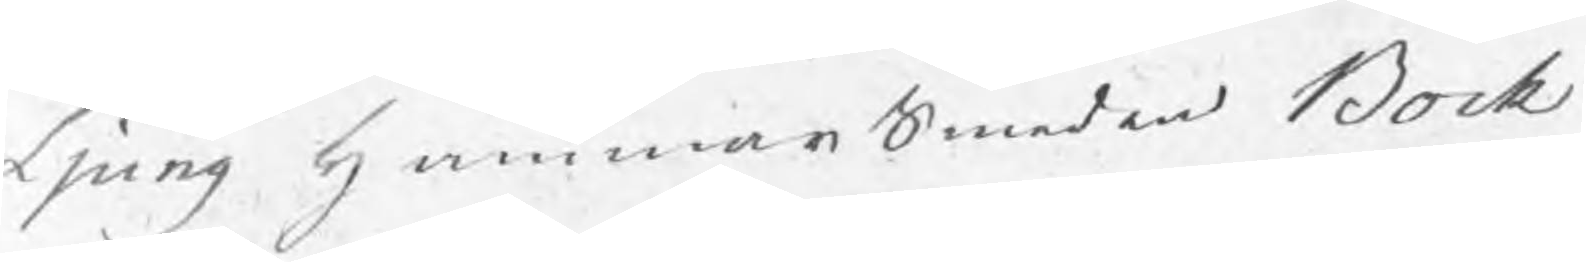Ljung HammarsSmeden Bock
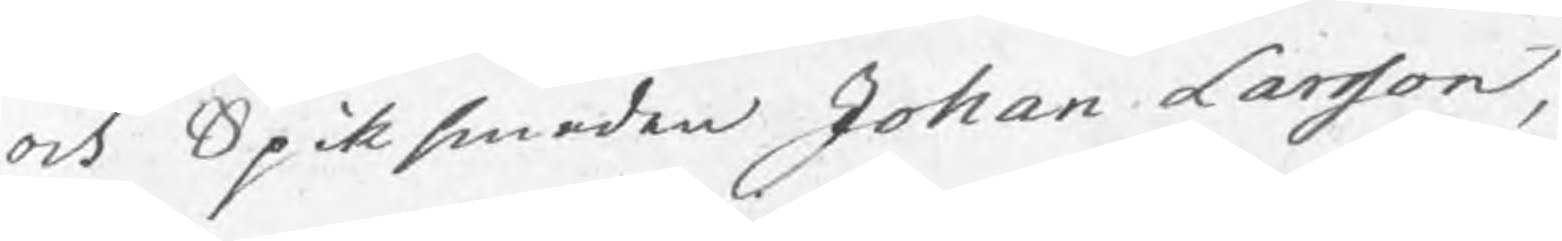och Spiksmeden Johan Larsson,
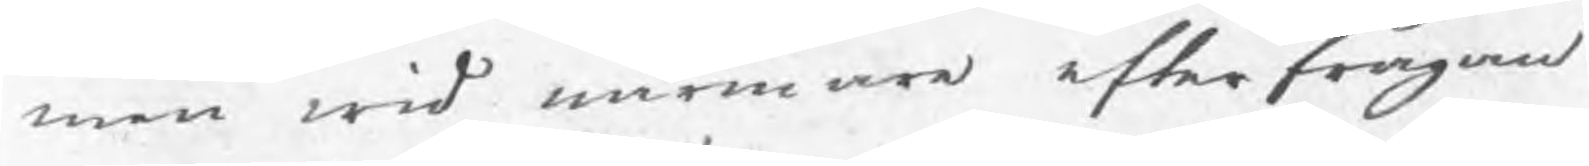men wid närmare efterfrågan
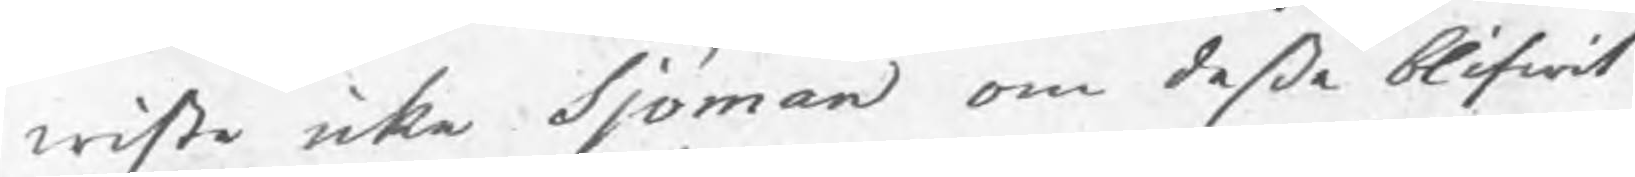wiste icke Sjöman om deße blifwit
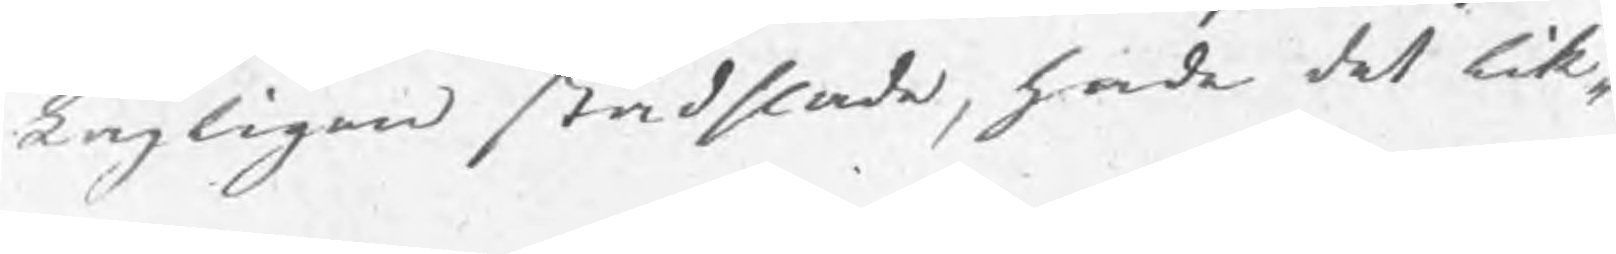Lagligen städslade, hade det lik¬
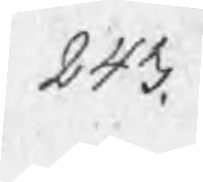243.
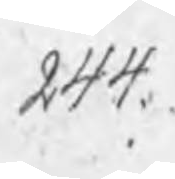244.
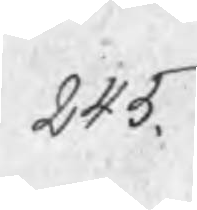245.
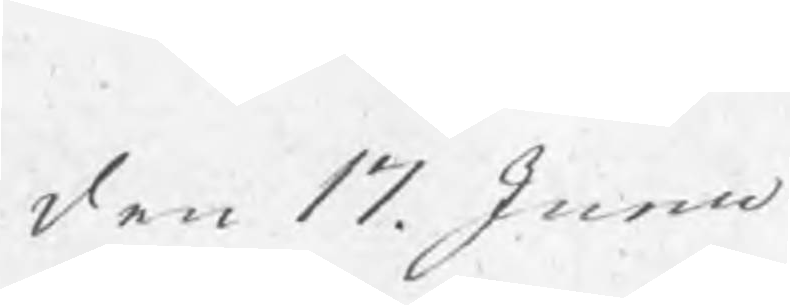den 17. Junii
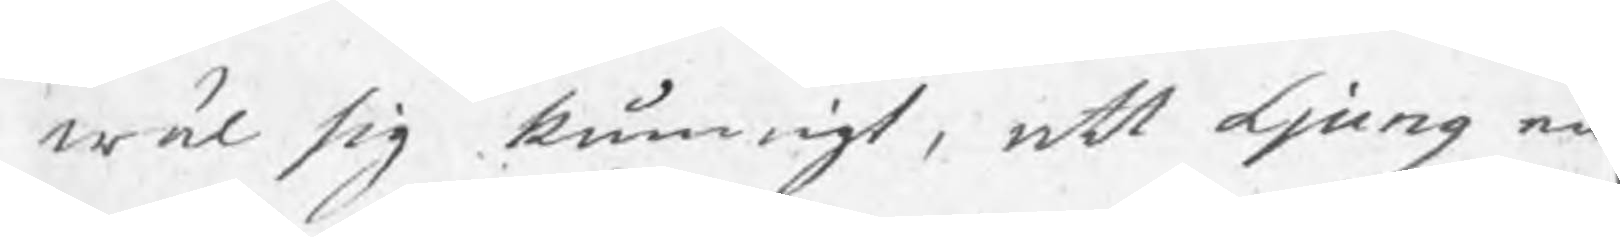wäl sig kunnigt, att Ljung en
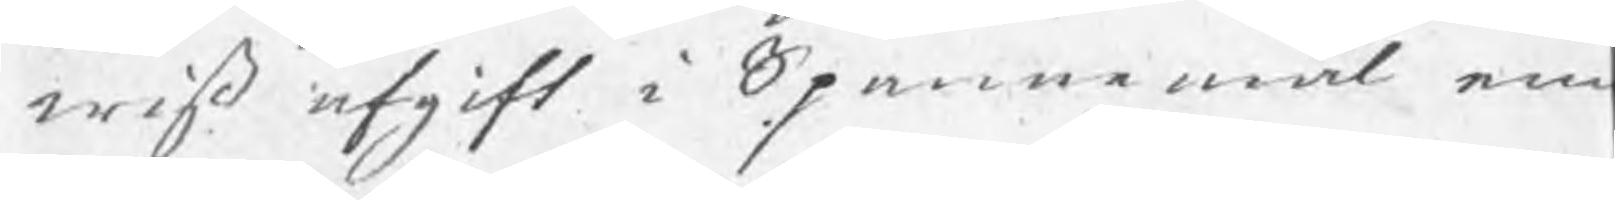wiß afgift i Spannmål an¬
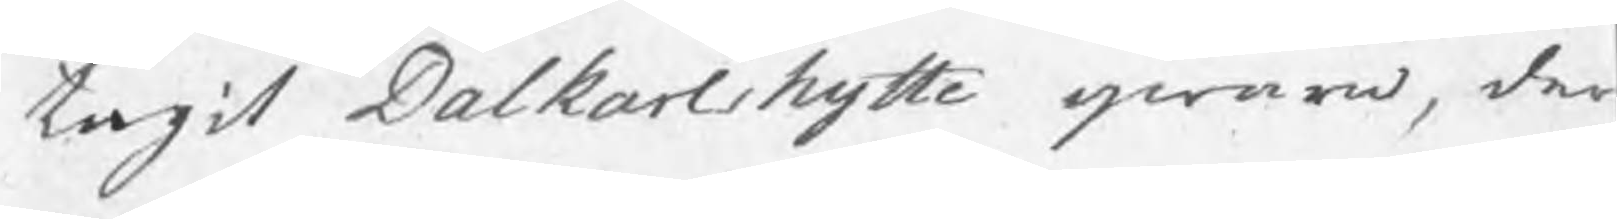tagit Dalkarlshytte qwarn, der
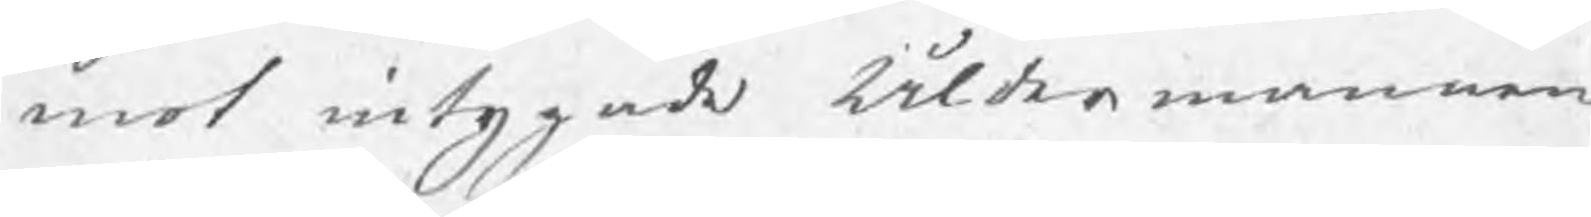mot intygade Åldermannen
